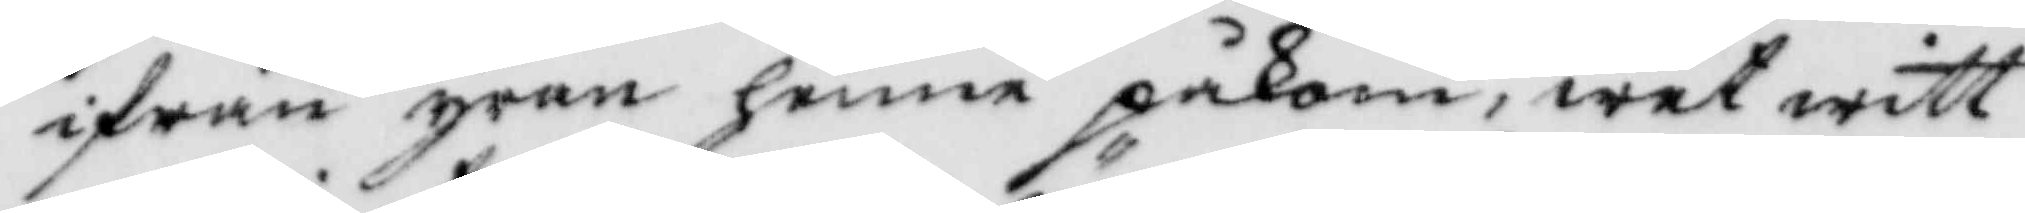ifrå¨n yran henne påkom, wet witt¬
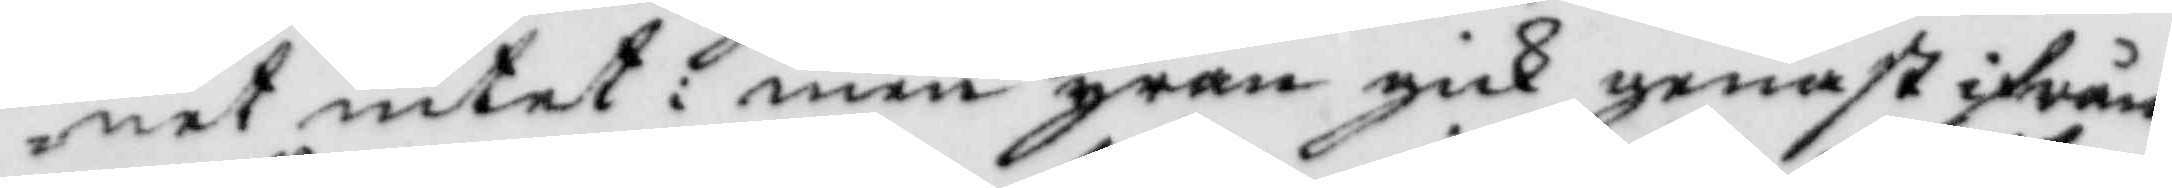net intet: men yran gick genast ifrån
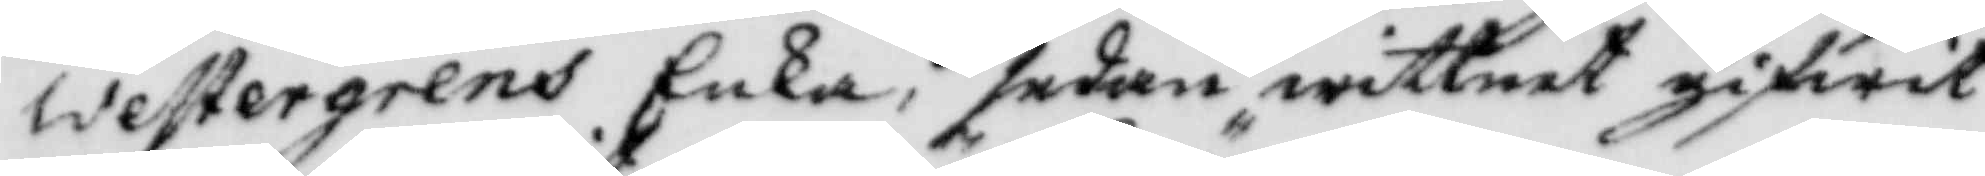Westergrens Enka, sedan wittnet gifwit
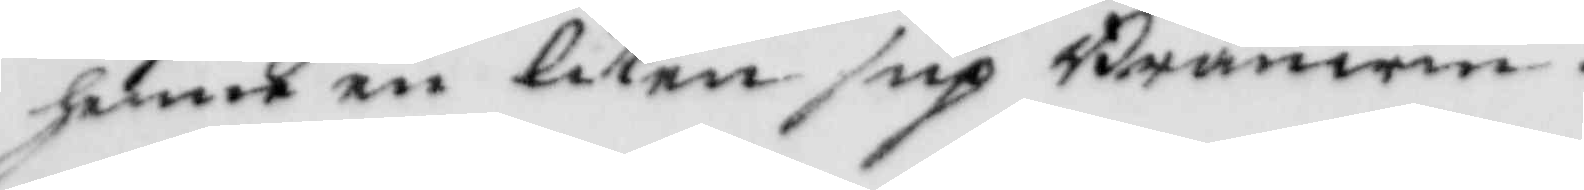henne en liten sup Bränwin.
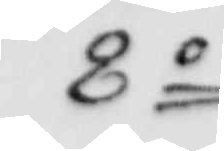8o
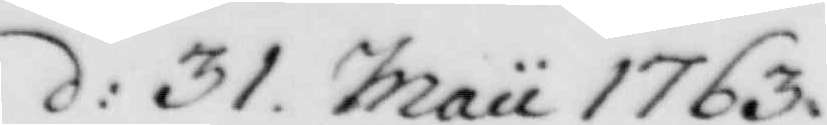d: 31. Maii 1763
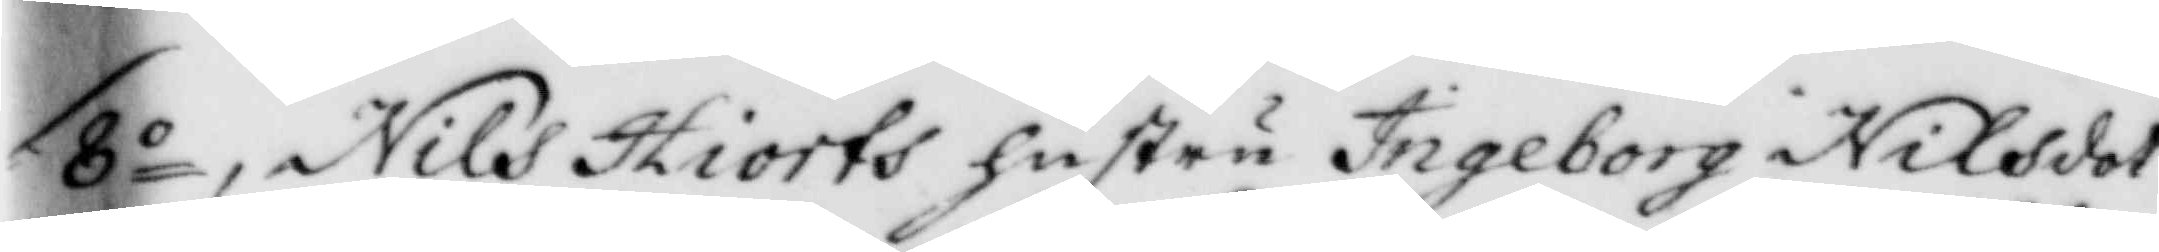8o, Nils Hiorts hustru Ingeborg Nilsdot¬
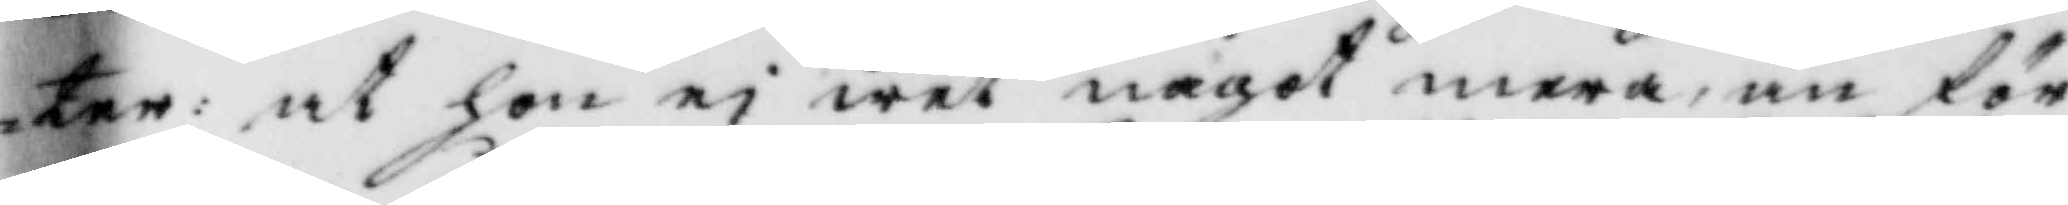ter: at hon ei wet något mera, än för
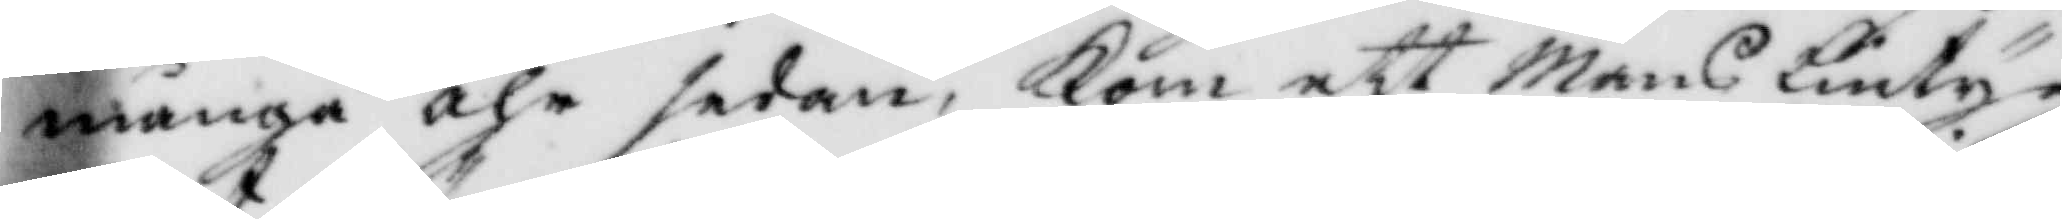många åhr sedan, Kom ett Mans lintyg
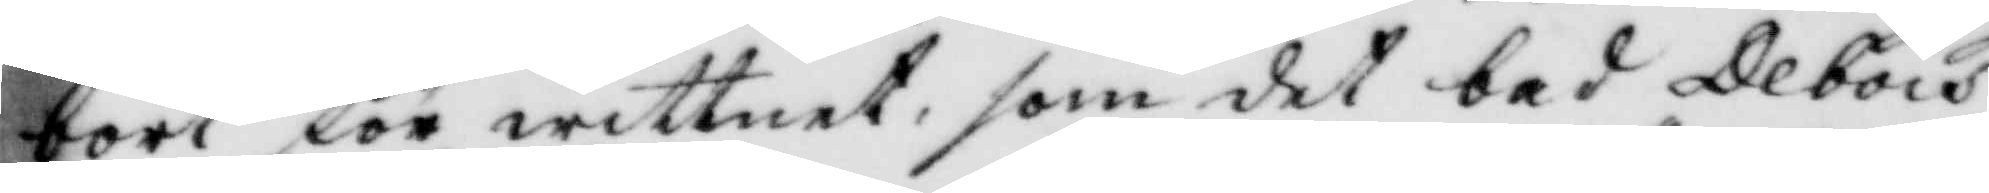bort för wittnet, som det bad Debois
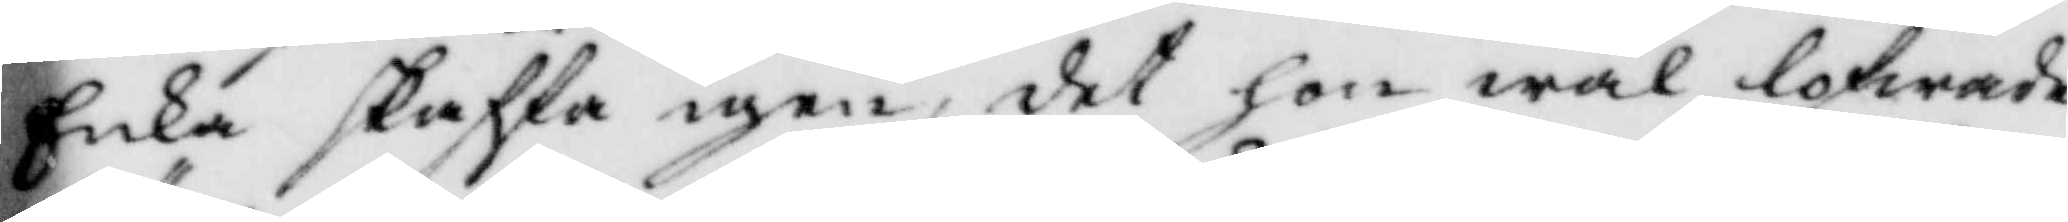Enka skaffa igen, det hon wäl lofwade
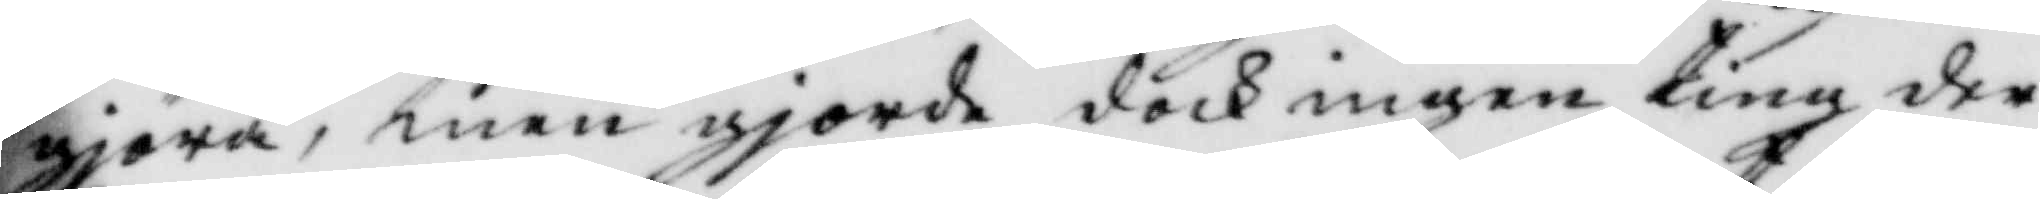gjöra, men gjorde dock ingenting der
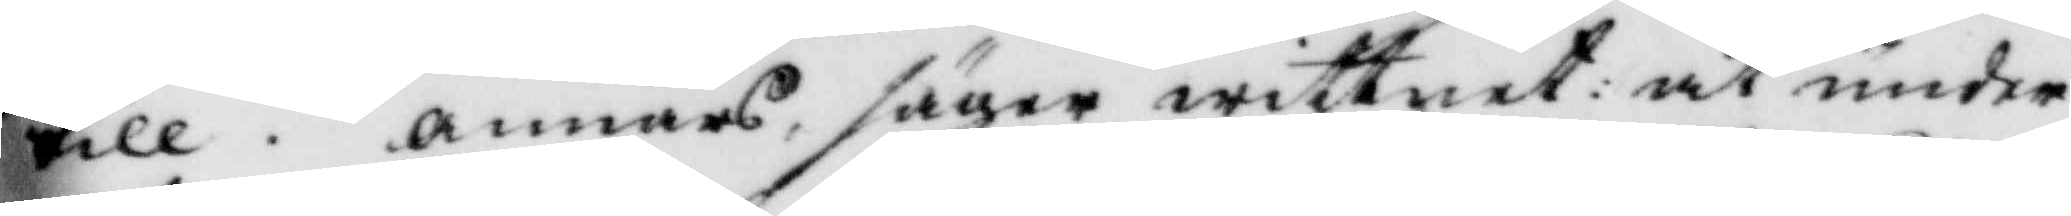till. annars, säger wittnet: at under
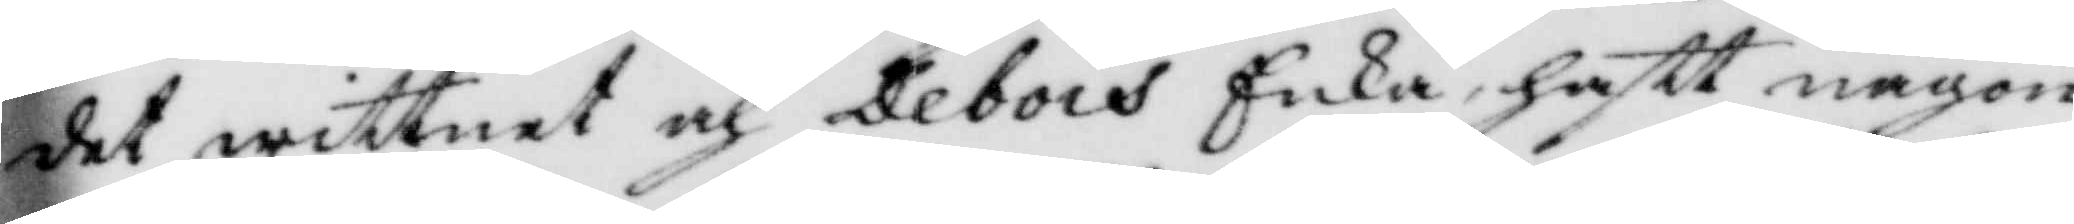det wittnet och Debois Enka, haftt någon
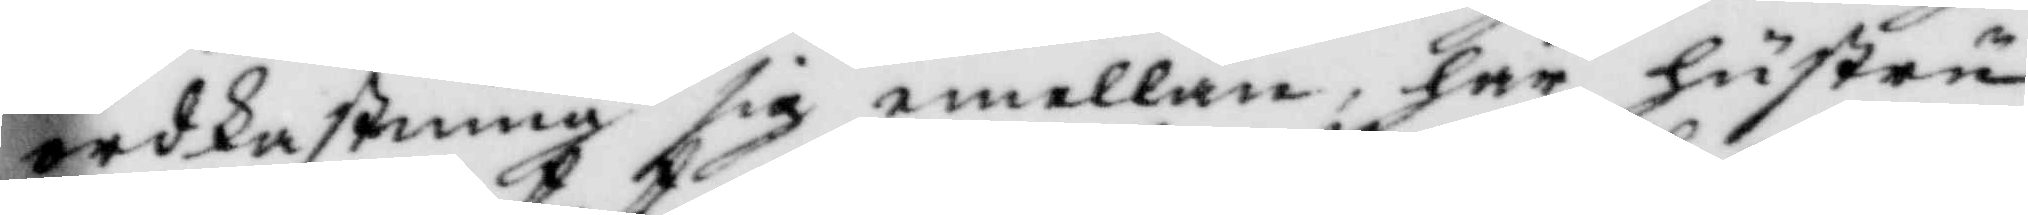ordkastning sig emellan, har hustru
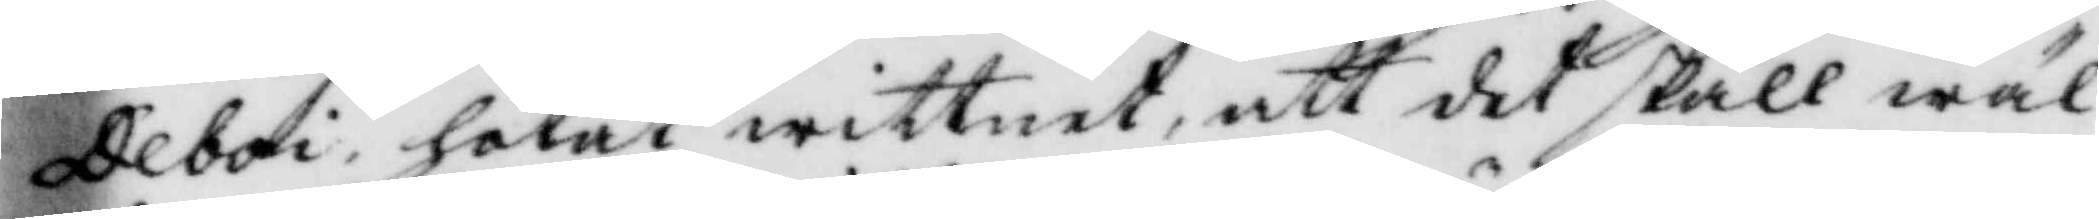Deboi, hotat wittnet, att det skall wäl
